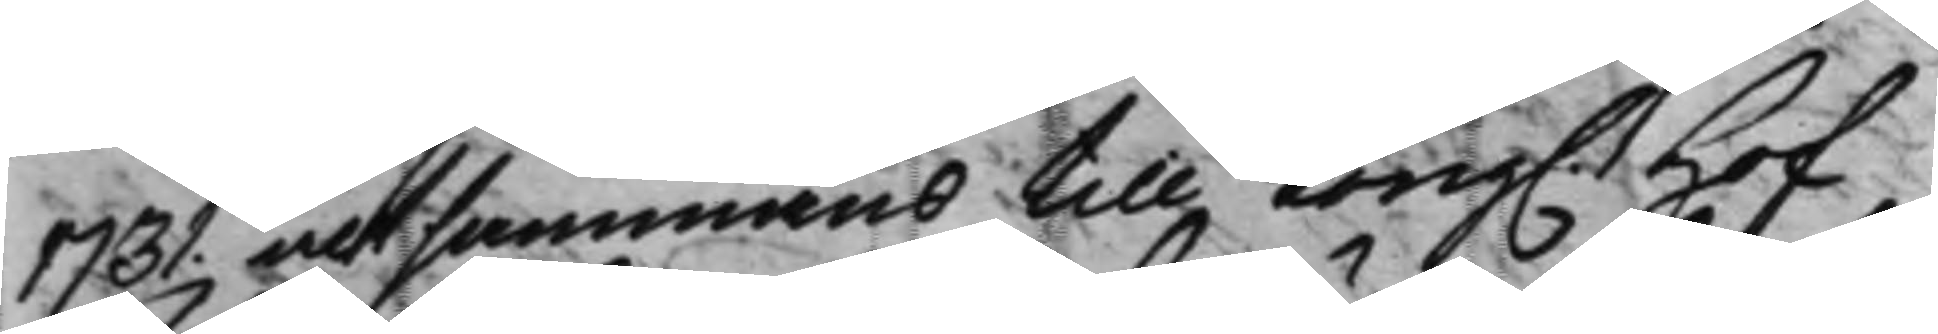1731. altsammans till Kong. Hof¬ 
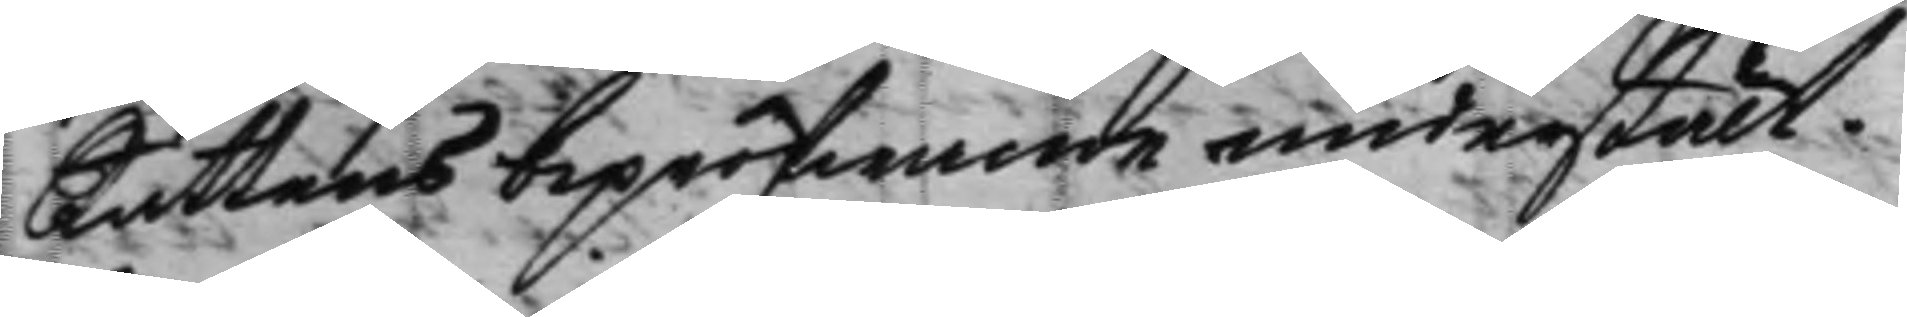Rättens bepröfwande understält.
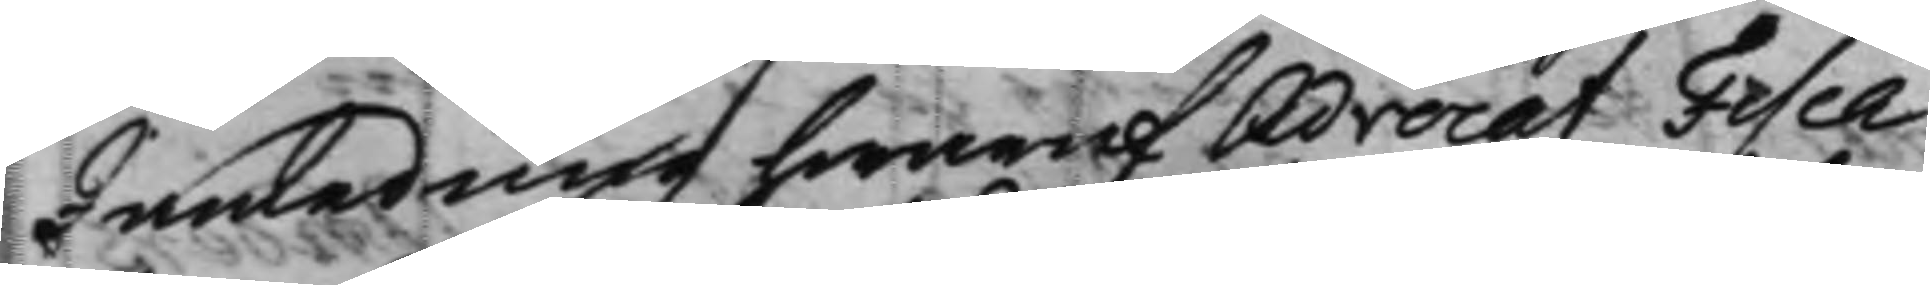I anledning hwaraf Advocat Fisca¬
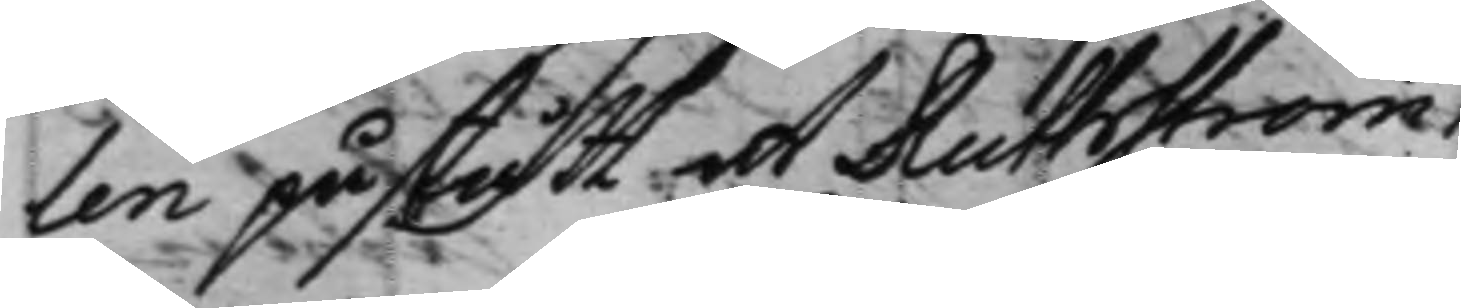len påstått at Ruthström
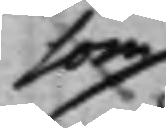som
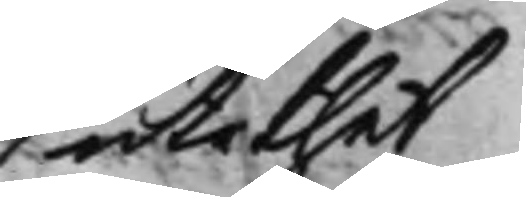uti thet
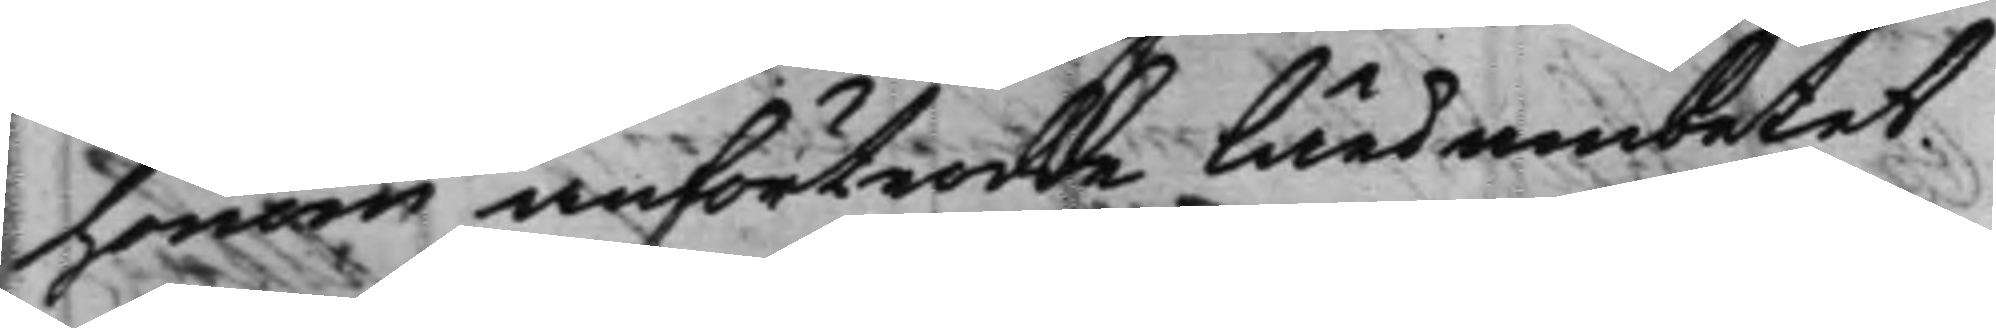honom anförtrodde läroembetet
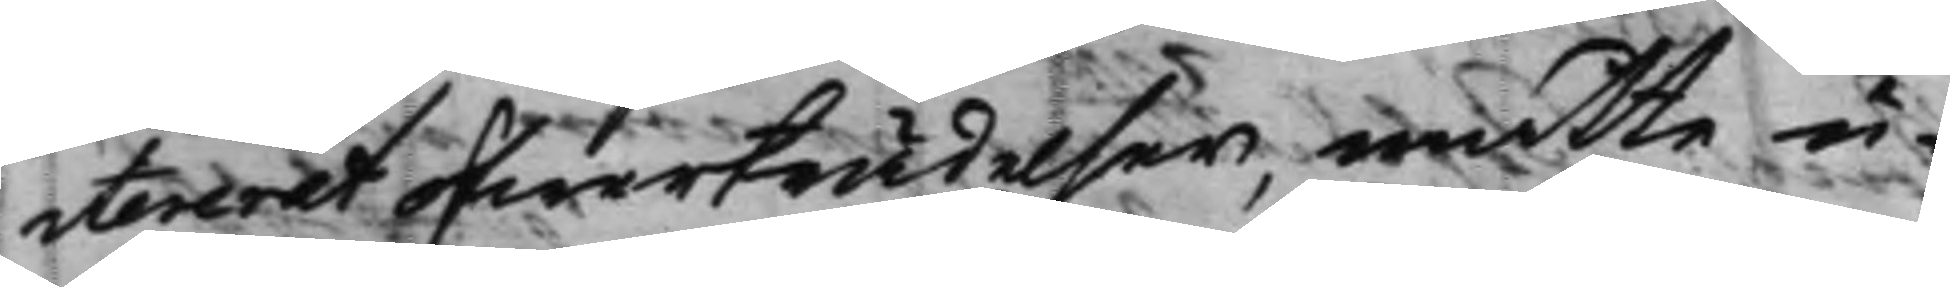itererat öfwerträdelser, måtte u¬
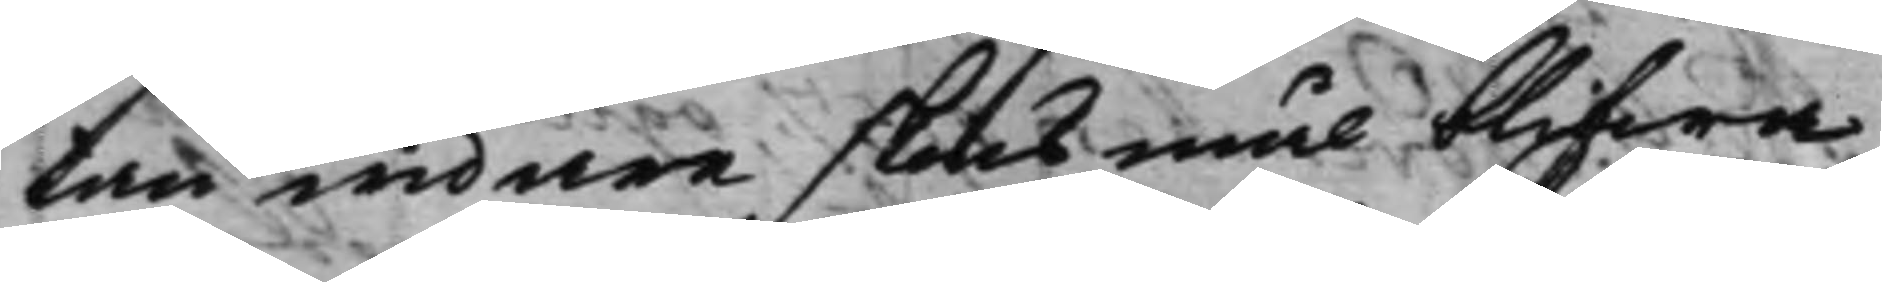tan widare skonsmål blifwa
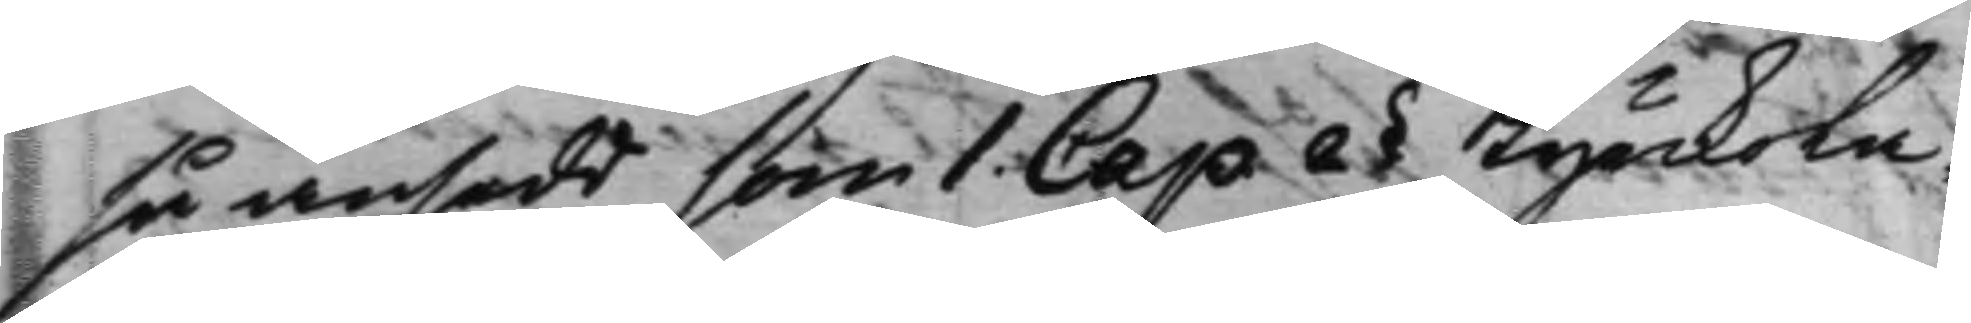så ansedd, som 1 Cap. 2§ Kyrckola¬ 
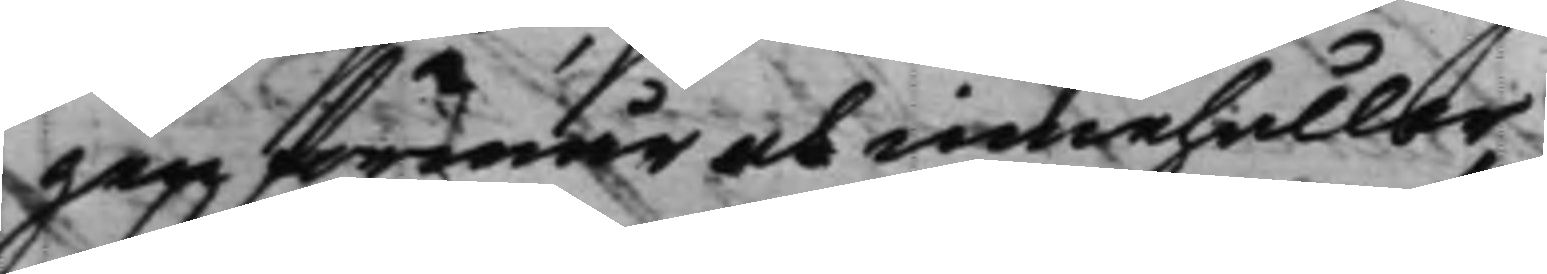gen förmår och innehåller
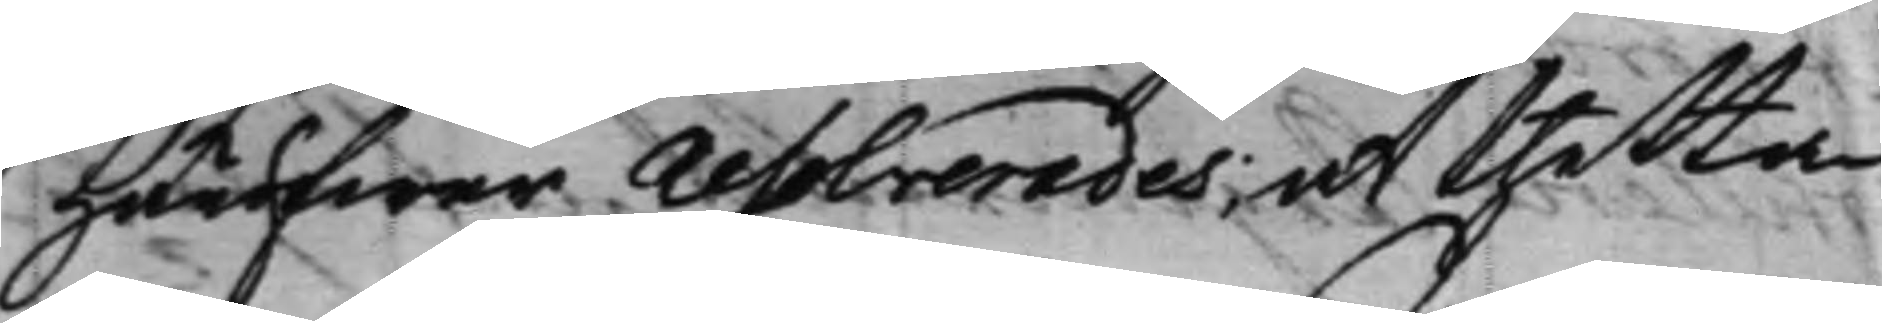Häröfwer resolverades; at thetta
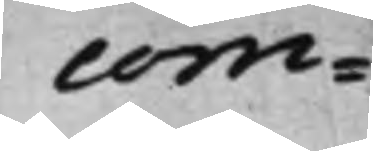com¬
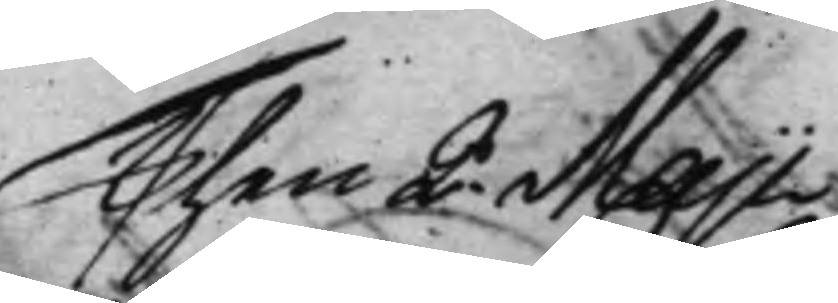Then 2 Maji. 
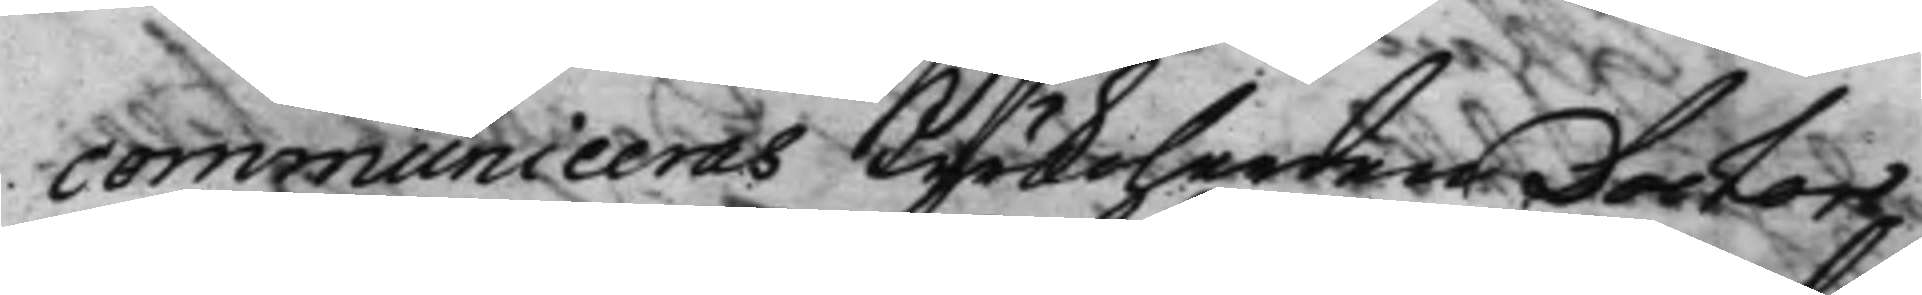communiceras Kyrkoherden Doctor
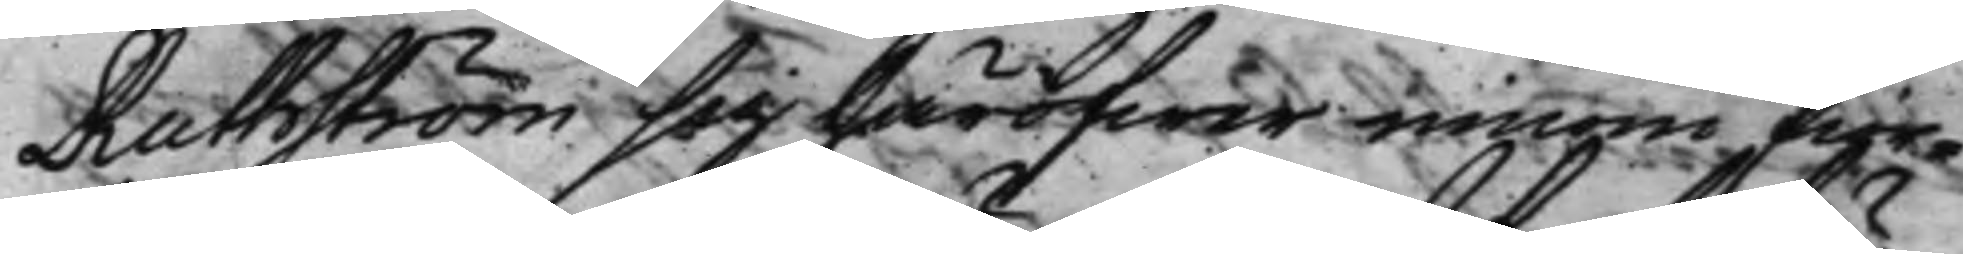Ruthström sig häröfwer innom fior¬
